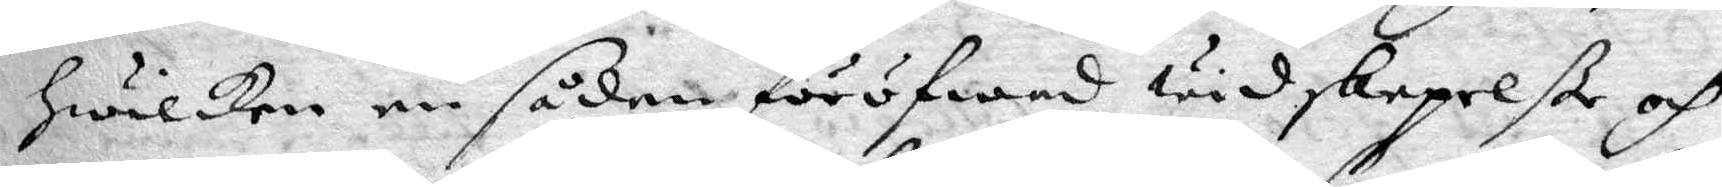hwilken en sådan föröfwad widskepelße och
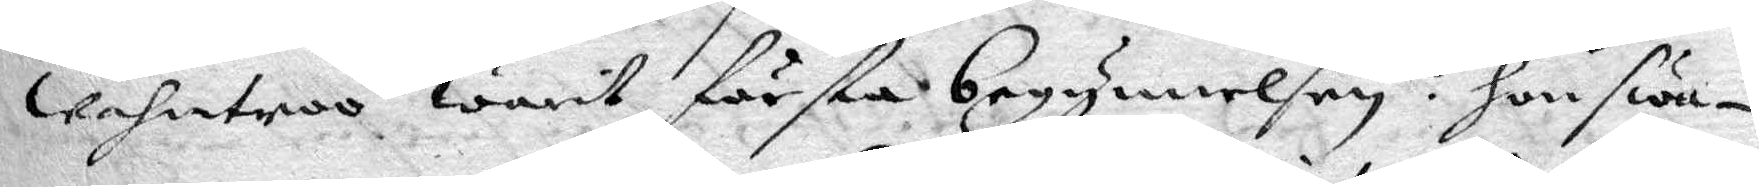wahntroo warit första begynnelsen: hon swa¬
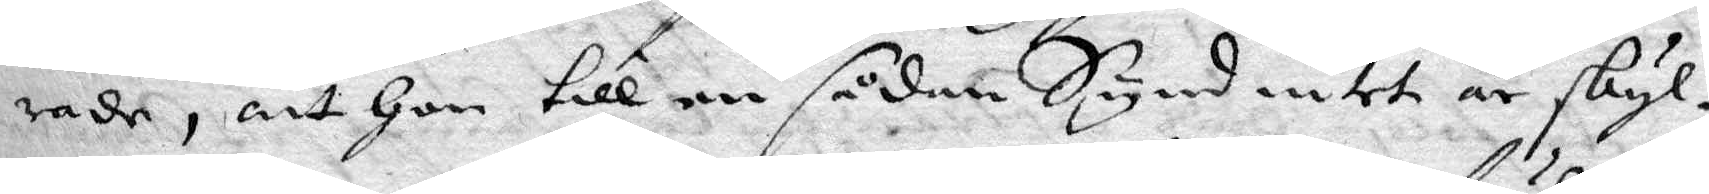rade, att hon till en sådan Synd intet är skyl¬
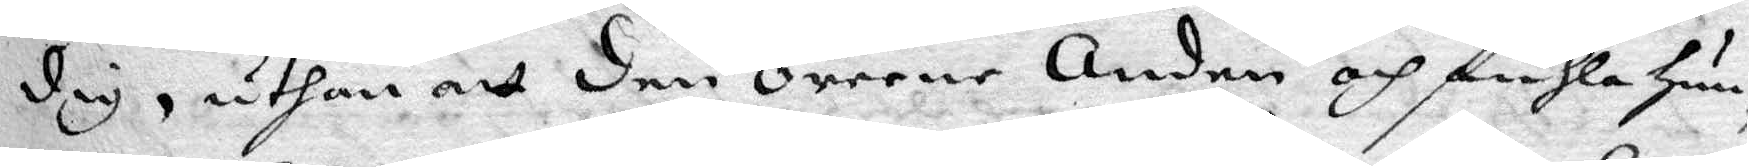dig, uthan att den orene Anden och fuhla hun¬
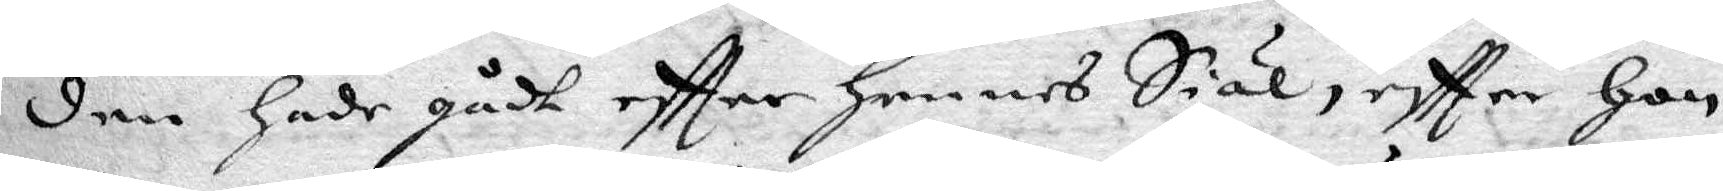den hade gådt eftter hennes Siäl, eftter hon
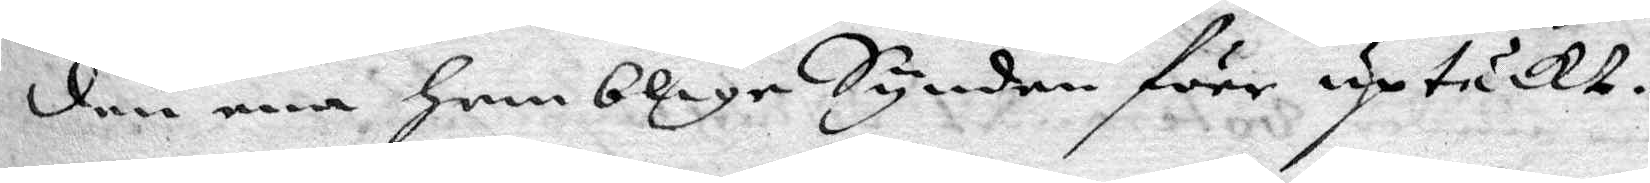den ena hemblige Synden förr uptäckt.
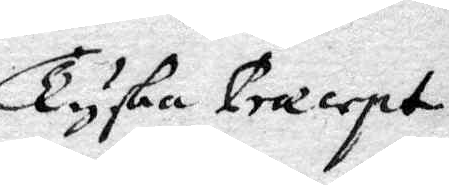Tyska Præcept
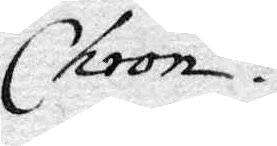Chron.
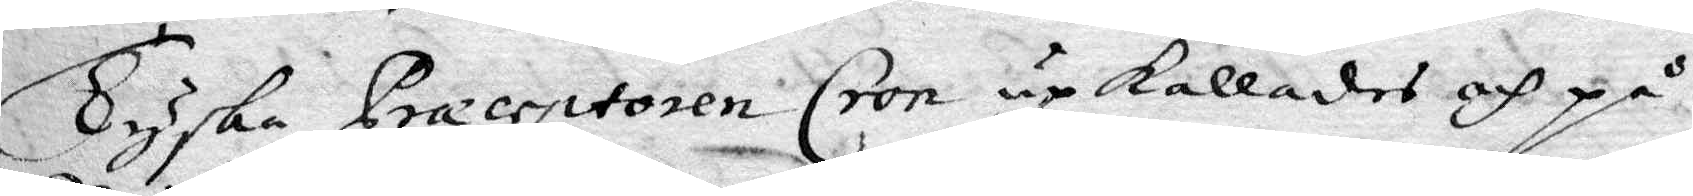Tyska Præceptoren Cron upkallades och på
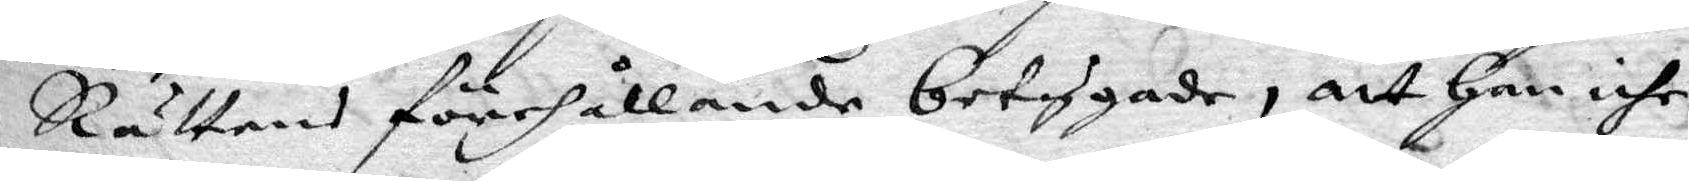Rättens förehållande betygade, att han iche
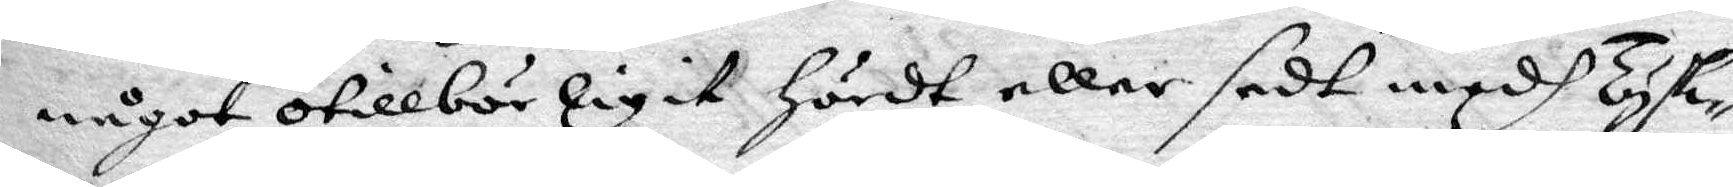något otillbörligit hördt eller sedt medh Tysk¬
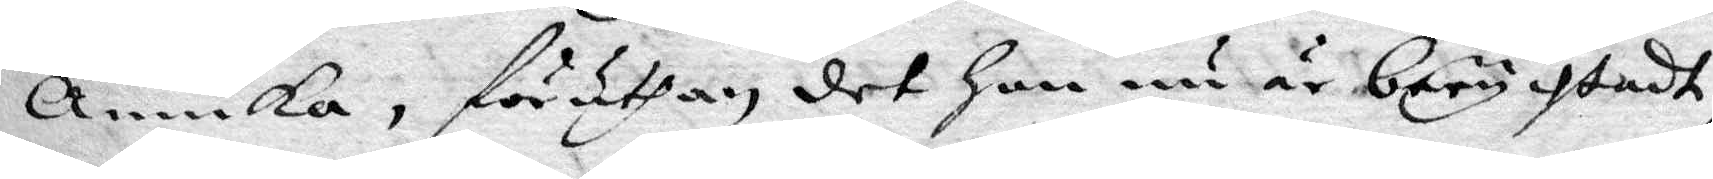Annika, föruthan det hon nu är berychtadt,
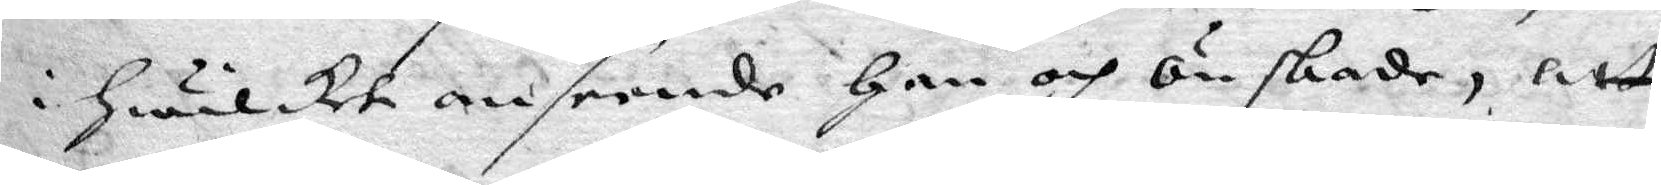i hwilket anseende han och önskade, att
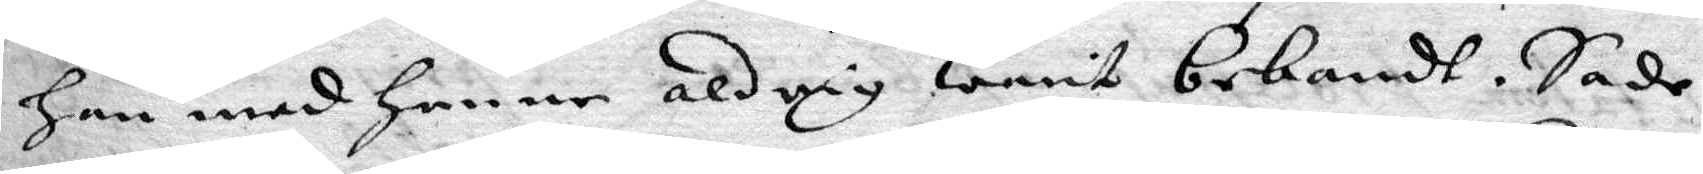han med henne aldrig warit bekandt. Sade
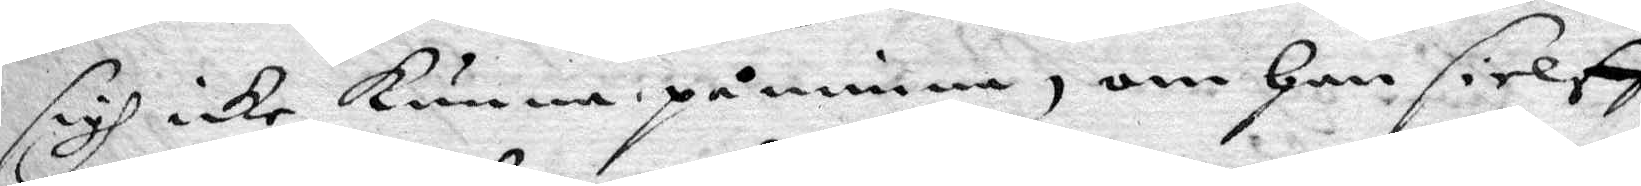sigh icke kunna påminna, om han sielff
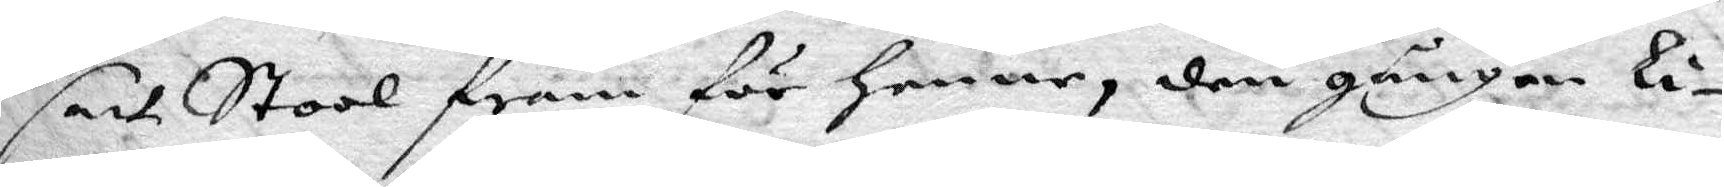satt Stool fram för henne, den gången Li¬
